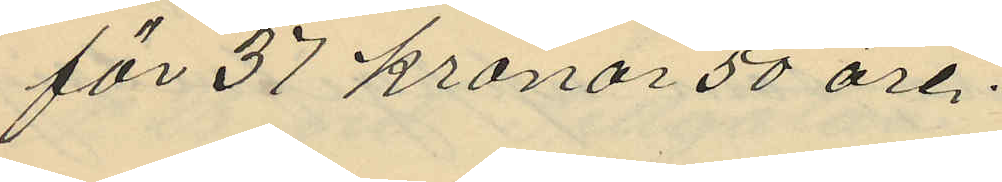för 37 kronor 50 öre.
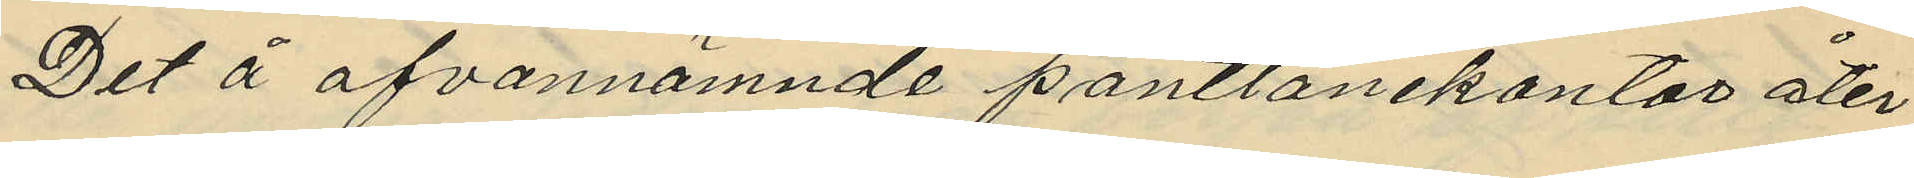Det å ofvannämnde pantlånekontor åter¬
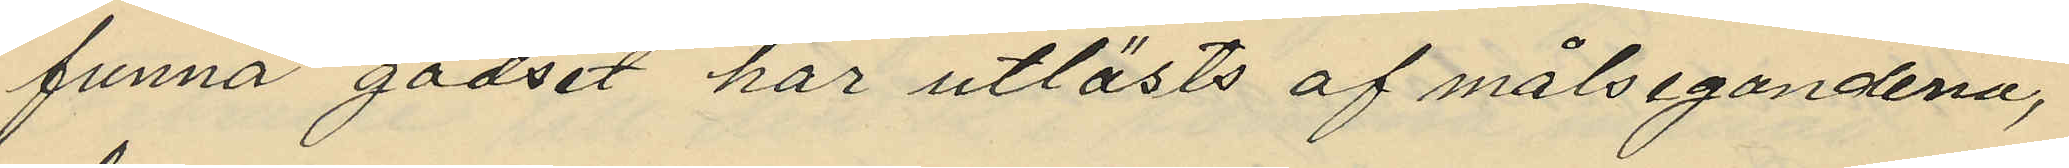funna godset har utlösts af målsegandena,
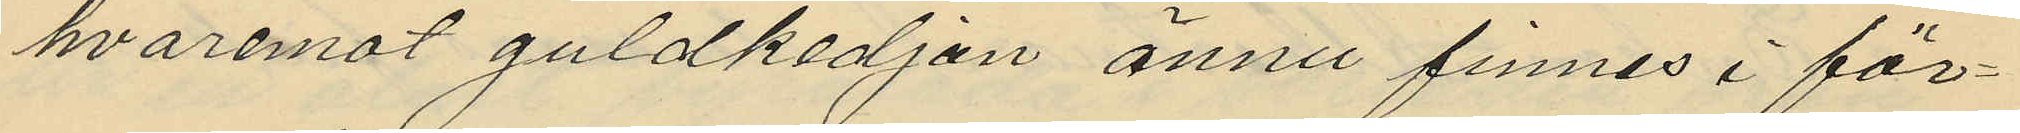hvaremot guldkedjan ännu finnes i för¬
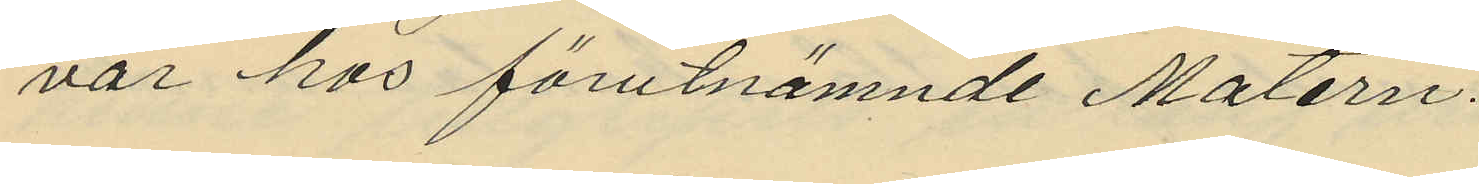var hos förutnämnde Matérn.
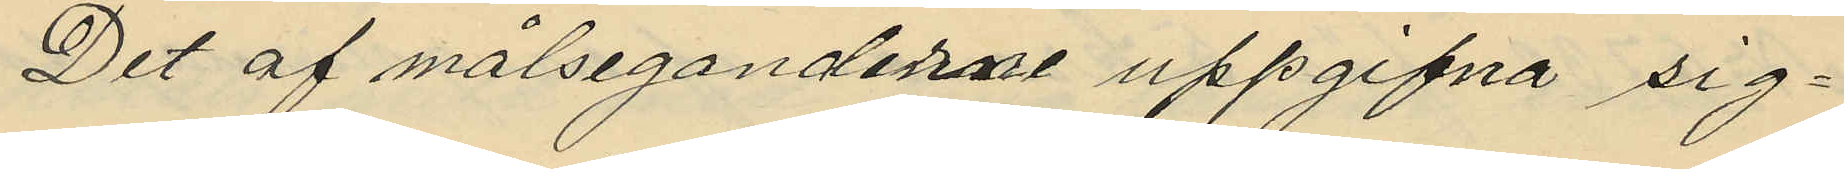Det af målseganderne uppgifna sig¬
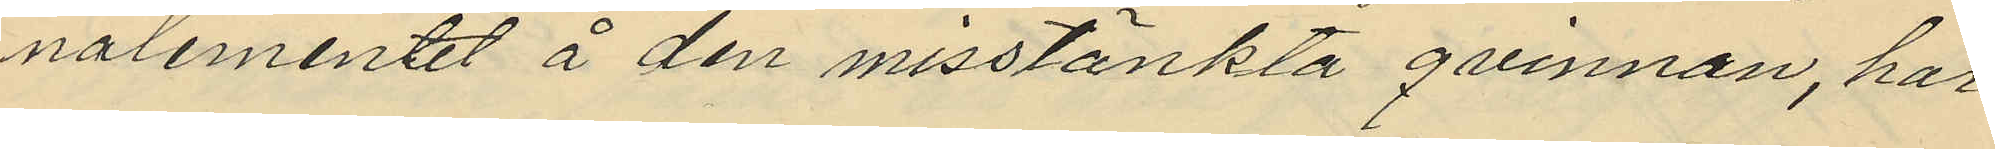nalementet å den misstänkta qvinnan, har
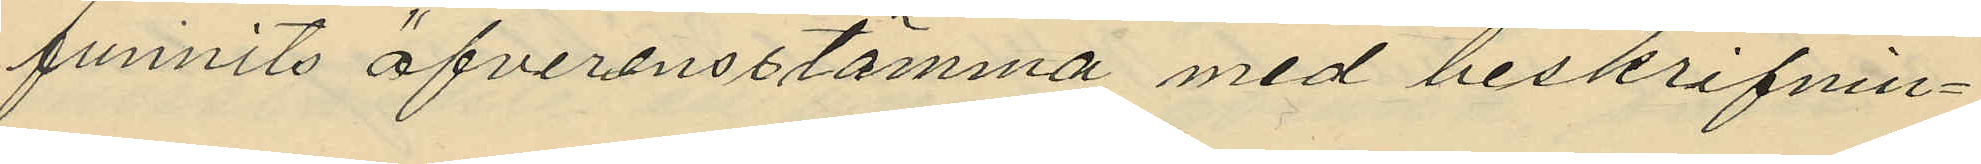funnits öfverensstämma med beskrifnin¬
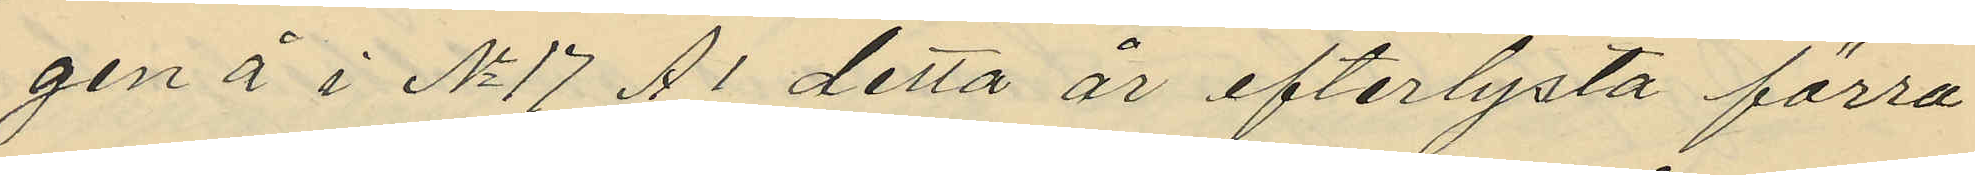gen å i No 17 A1 detta år efterlysta förra
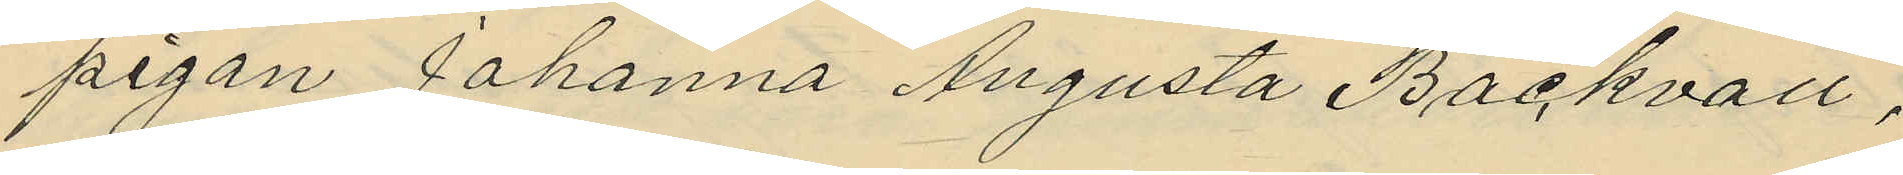pigan Johanna Augusta Bäckvall,
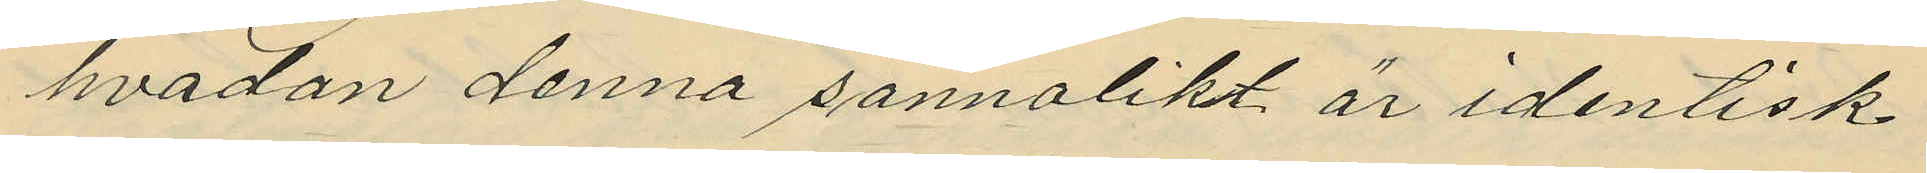hvadan denna sannolikt är identisk
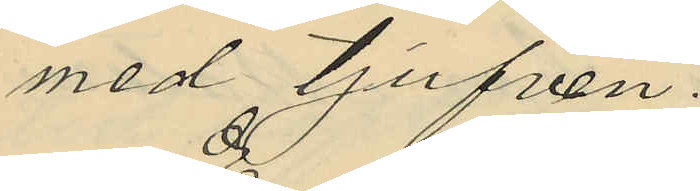med tjufven.
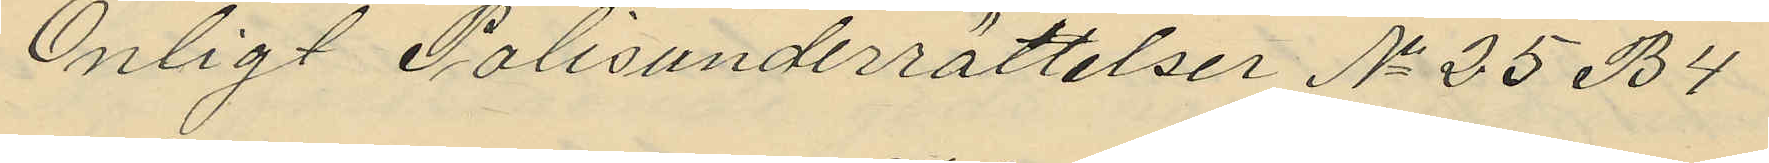Enligt Polisunderrättelser No 25 B4
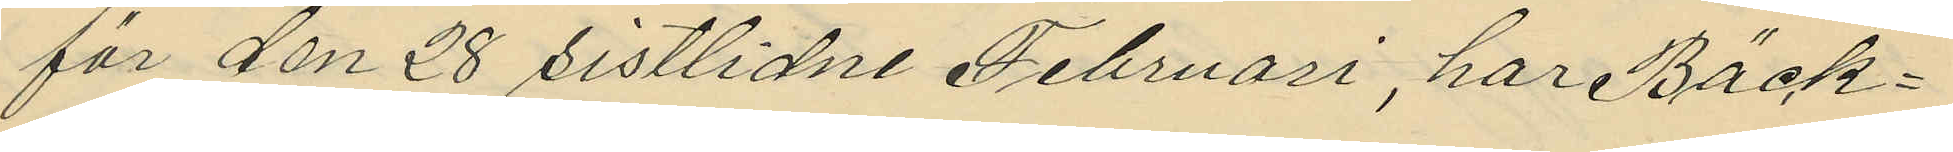för den 28 sistlidne Februari, har Bäck¬
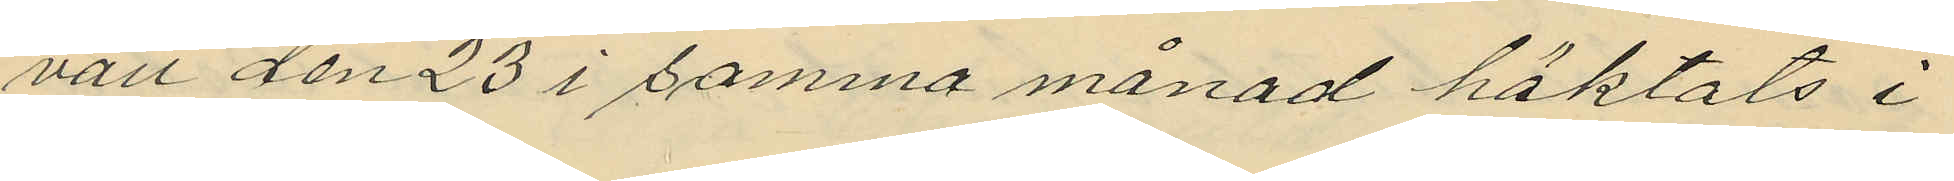vall den 23 i samma månad häktats i
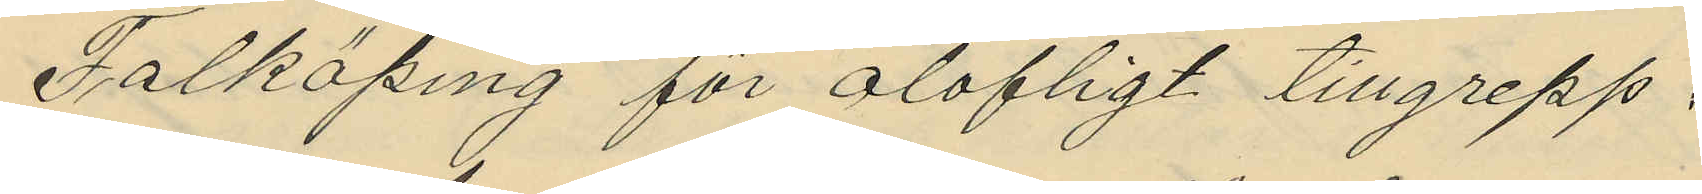Falköping för olofligt tillgrepp.
